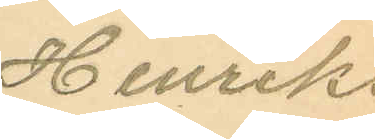Henriks
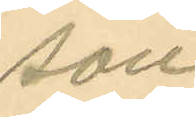son
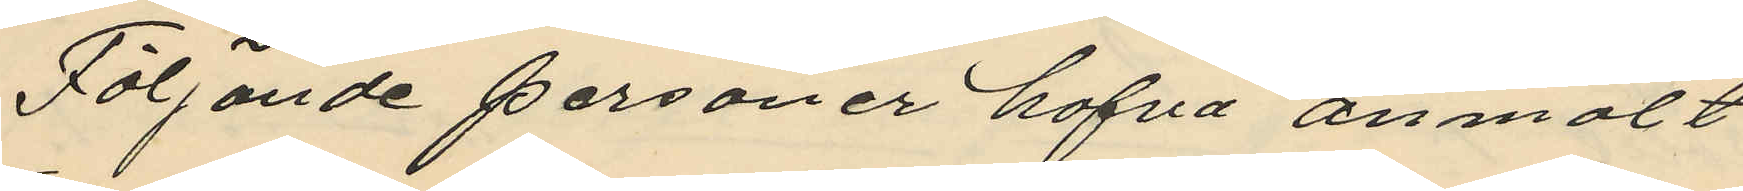Följande personer hafva anmält
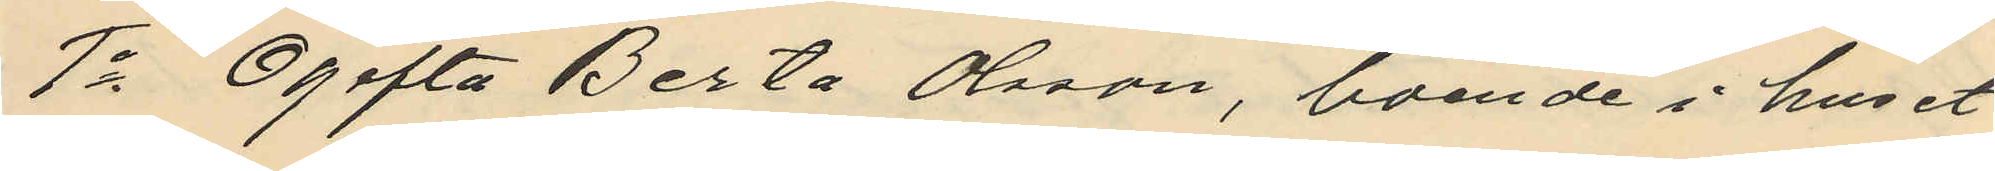1o Ogifta Berta Olsson, boende i huset
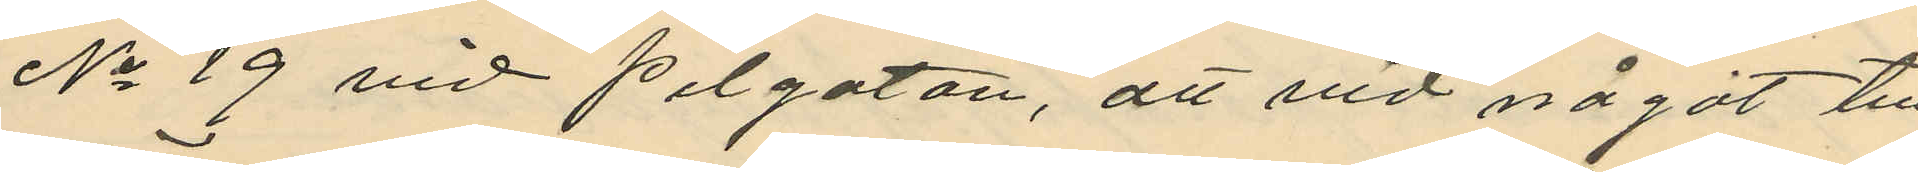No 19 vid pilgatan, att vid något till¬
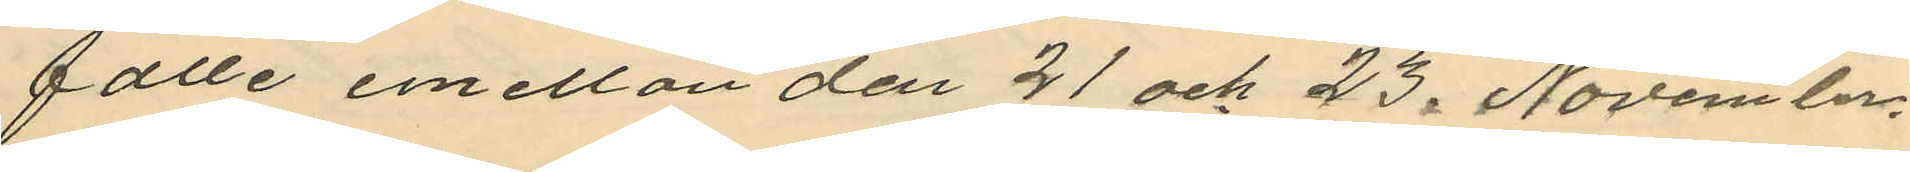fälle emellan den 21 och 23. November
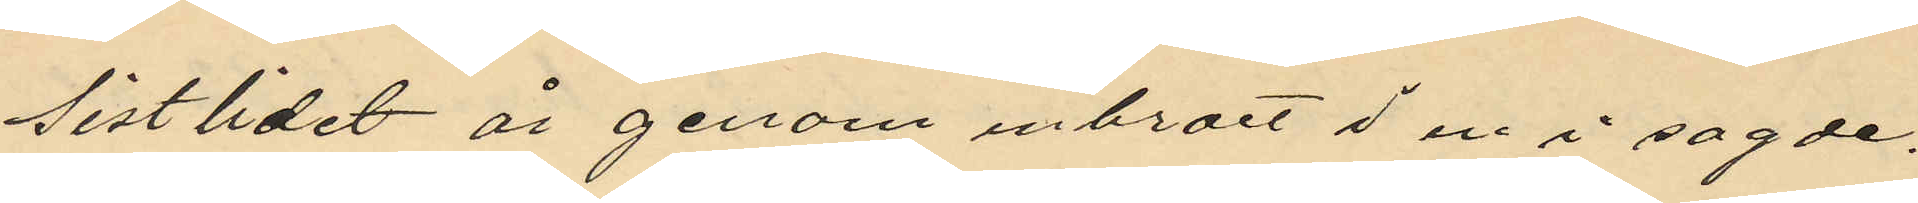Sistlidet år genom inbrott i en i sagde
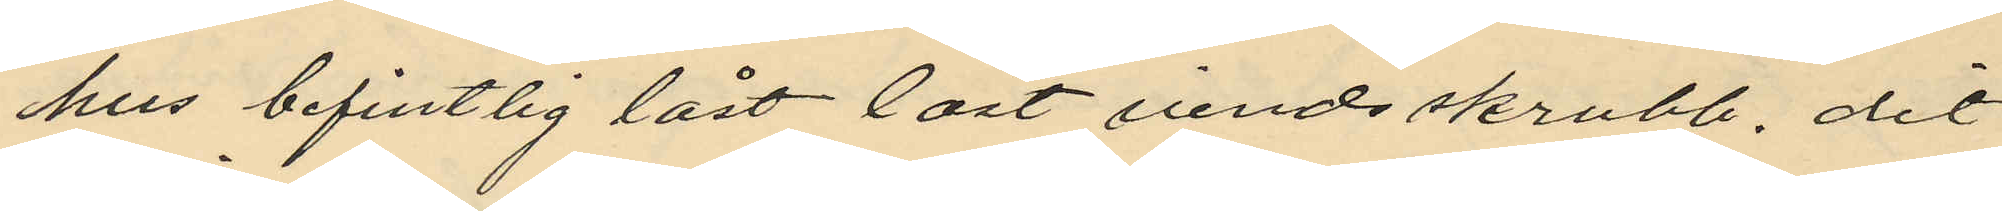hus befintlig låst låst vindsskrubb, dit
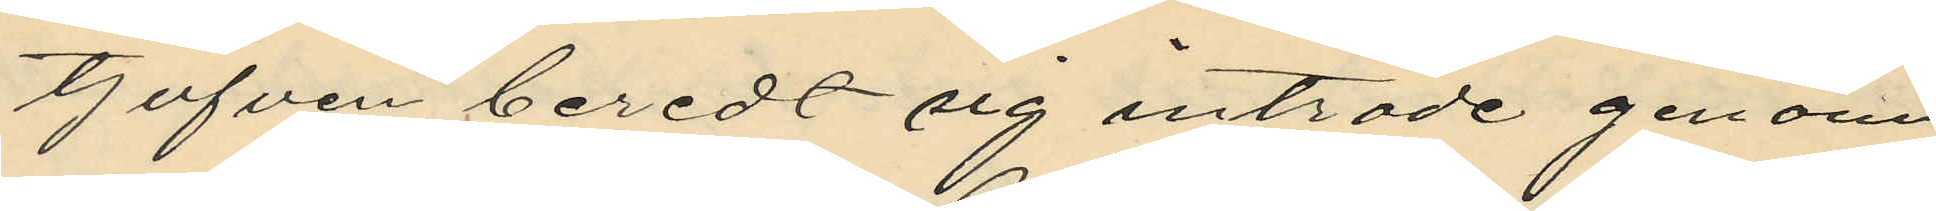tjufven beredt sig inträde genom
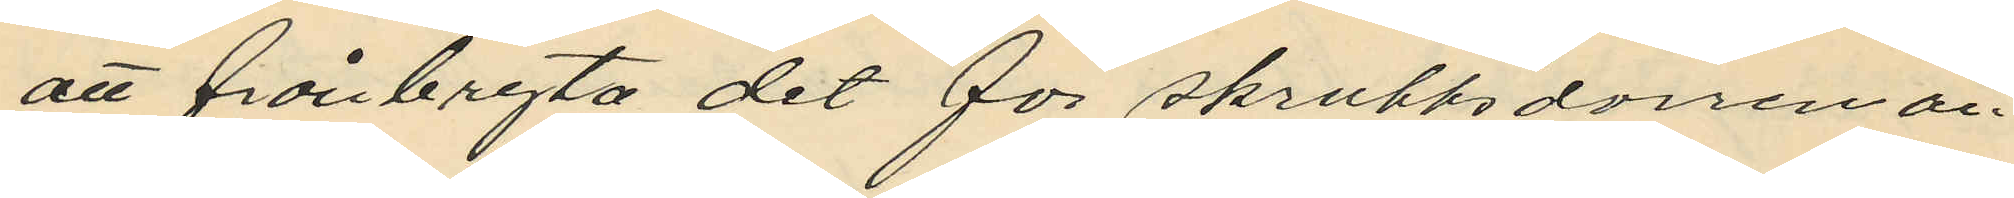att frånbryta det för skrubbsdorren an¬
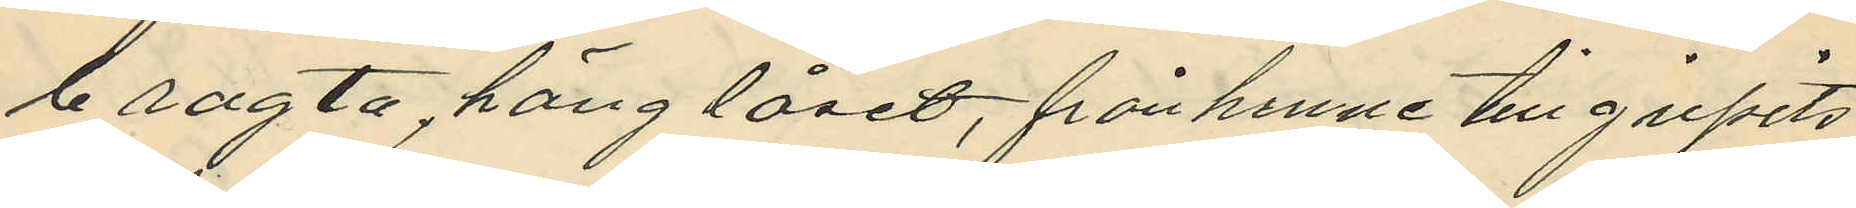bragta, hänglåset, från henne tillgripits
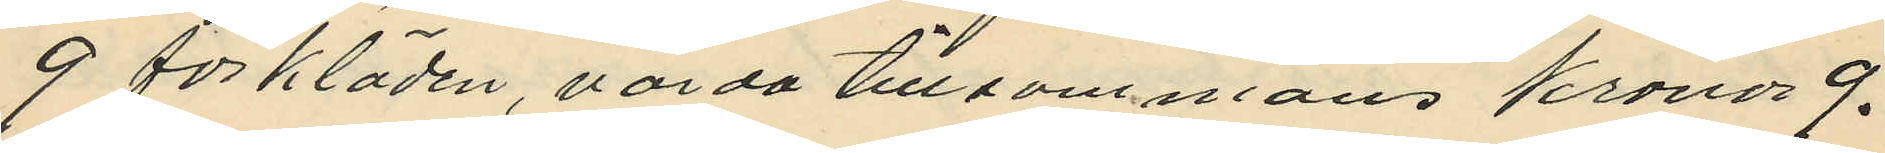9 förkläden, värda tillsammans Kronor 9.
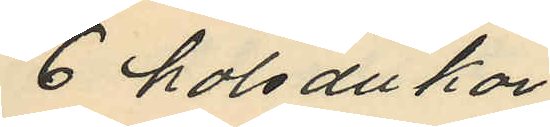6 halsdukar
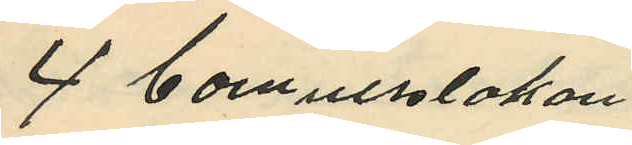4 bomullslakan
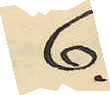6.
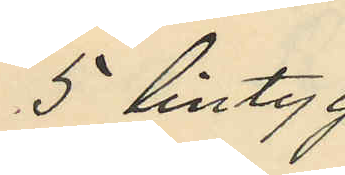5 lintyg
